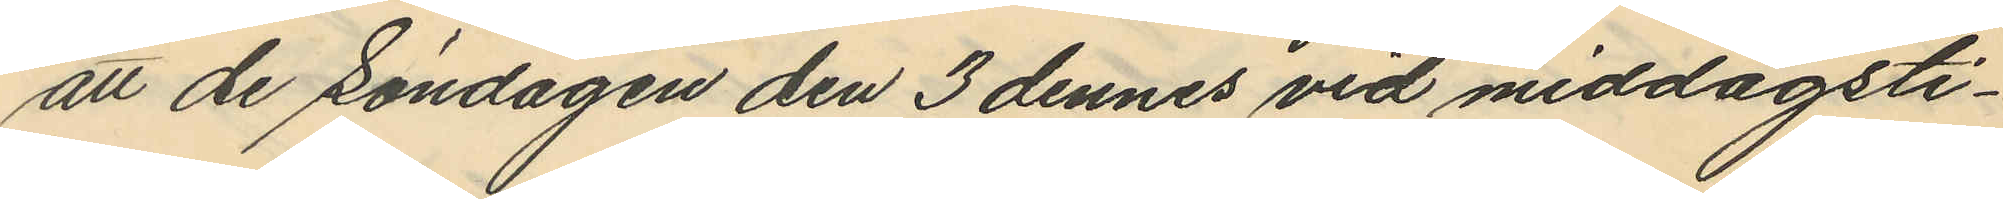att de Söndagen den 3 dennes vid middagsti¬
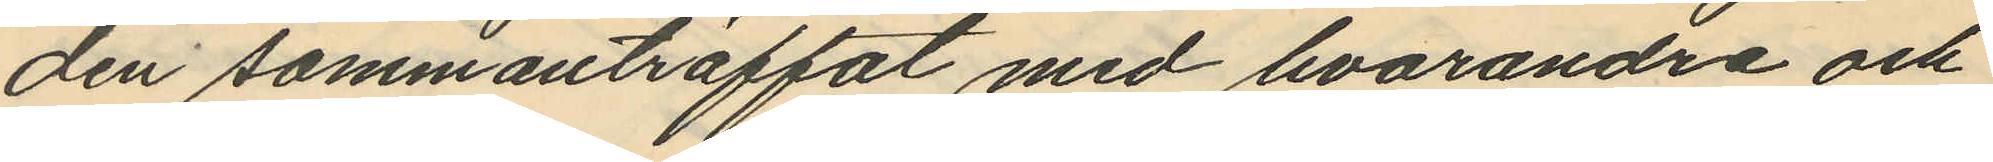den sammanträffat med hvarandra och
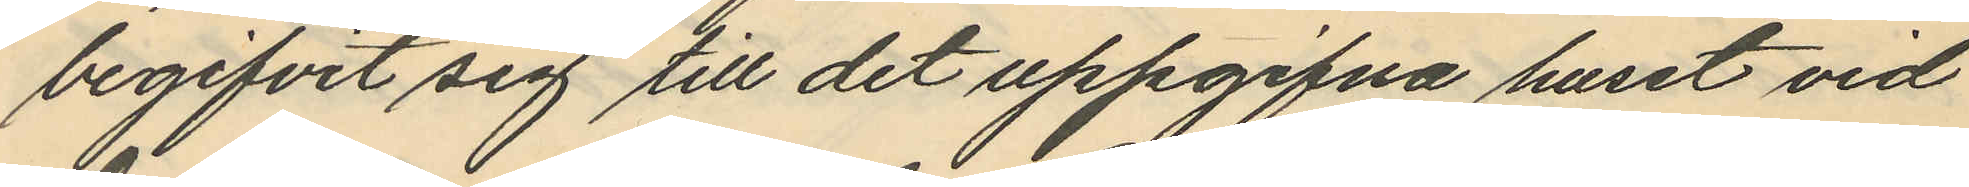begifvit sig till det uppgifna huset vid
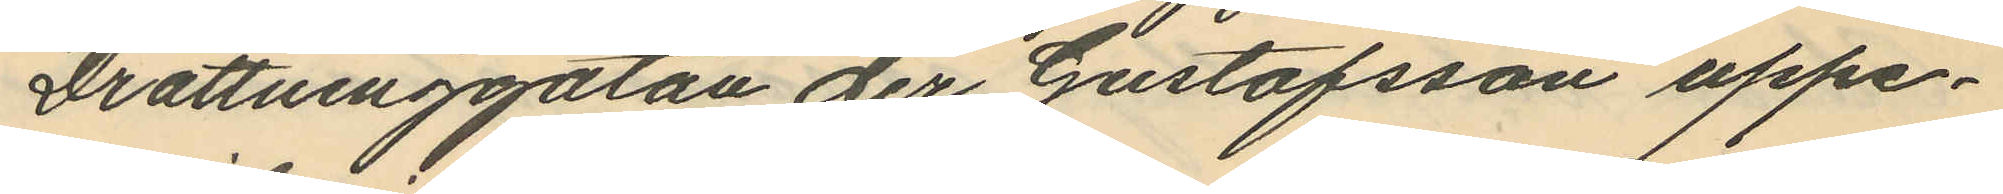Drottninggatan der Gustafsson uppe¬
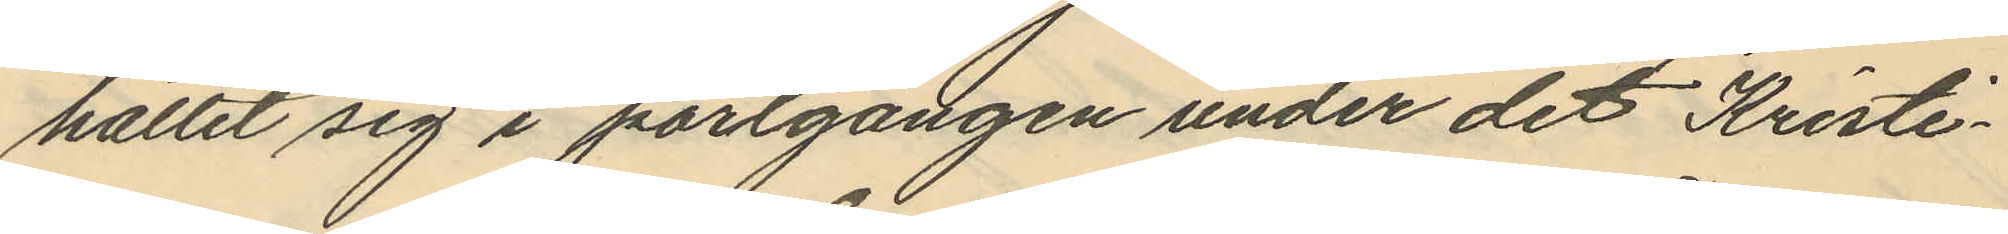hållit sig i portgången under det Kristi¬
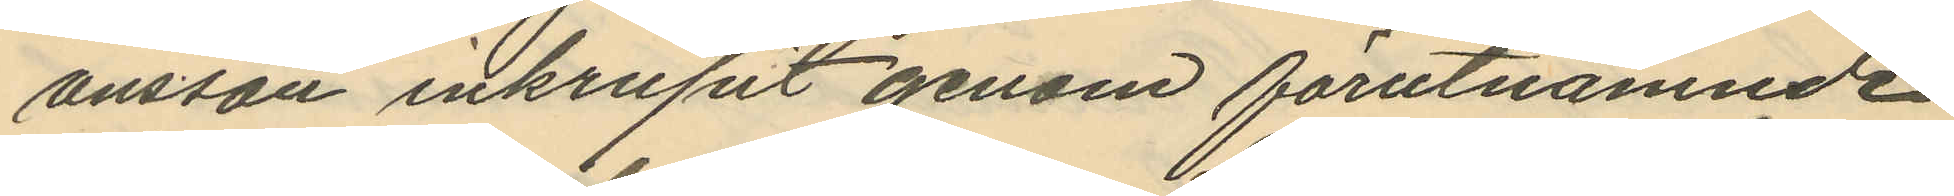ansson inkrupit genom förutnämnde
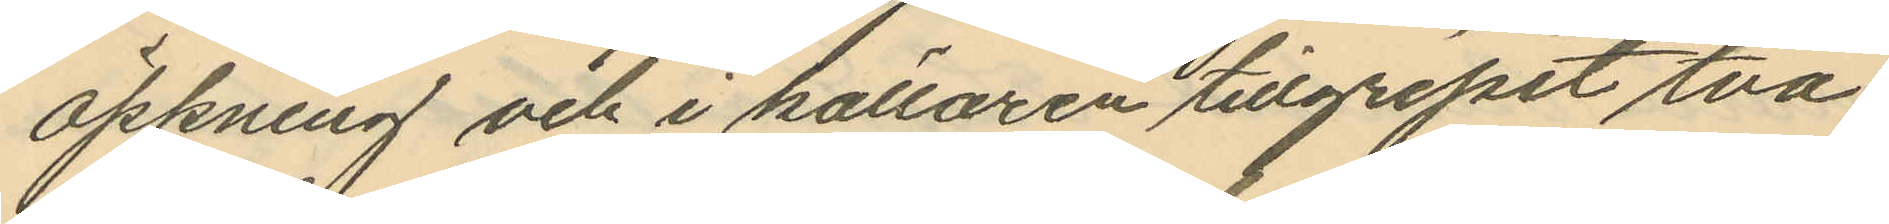öppning och i källaren tillgripit två
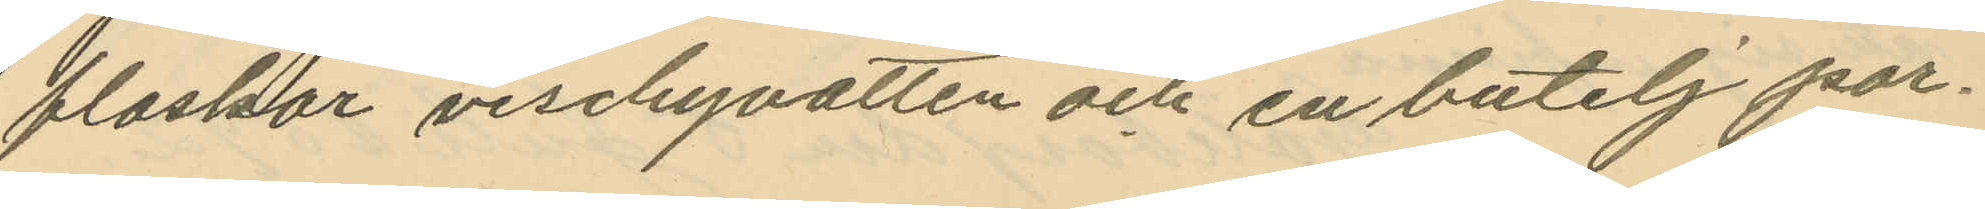flaskor vischyvatten och en butelj por¬
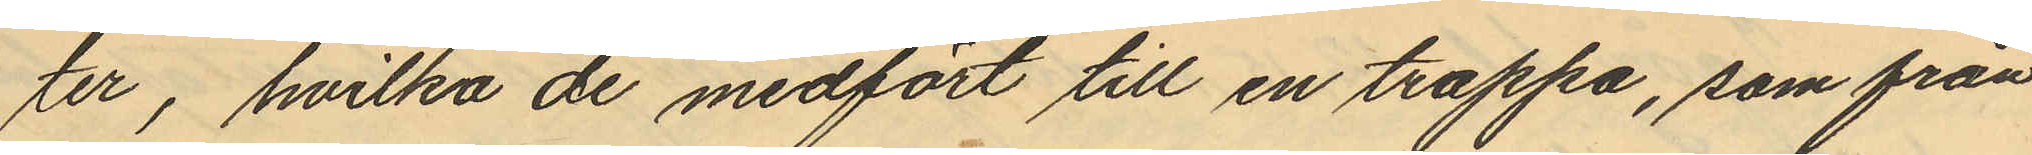ter, hvilka de medfört till en trappa, som från
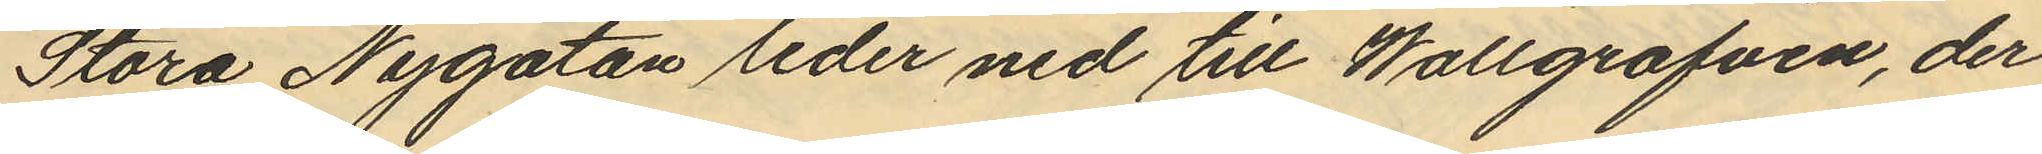Stora Nygatan leder ned till Wallgrafven, der
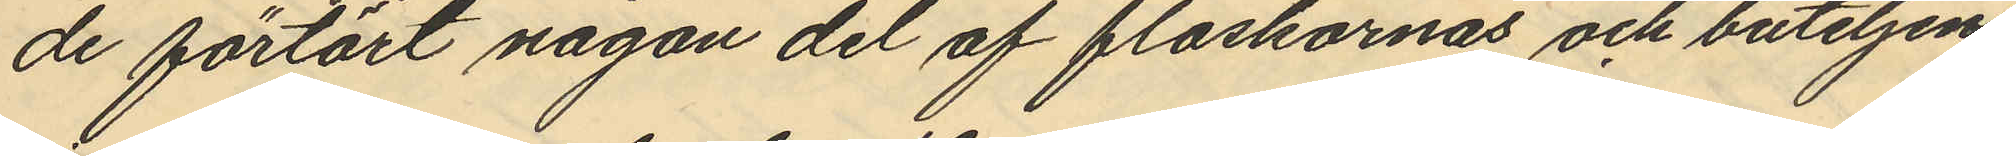de förtärt någon del af flaskornas och buteljens
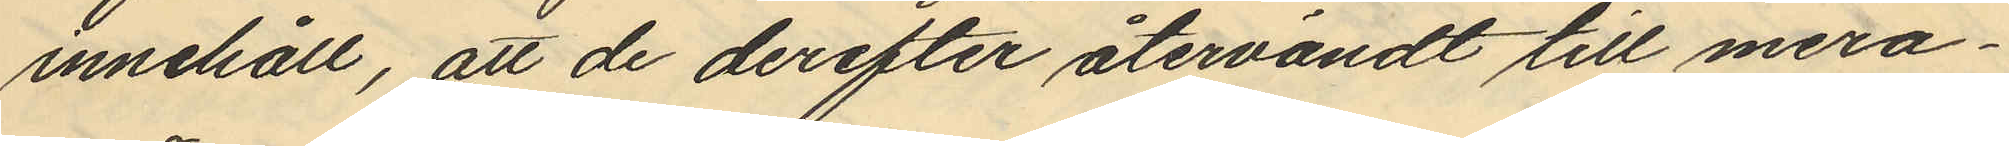innehåll, att de derefter återvändt till mera¬
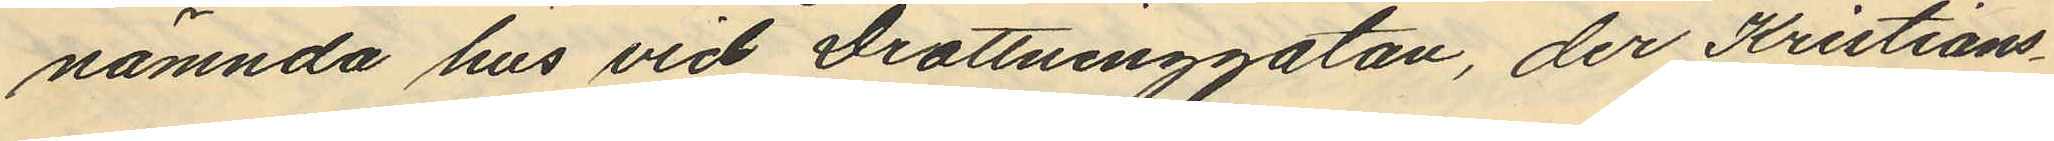nämnda hus vid Drottninggatan, der Kristians¬
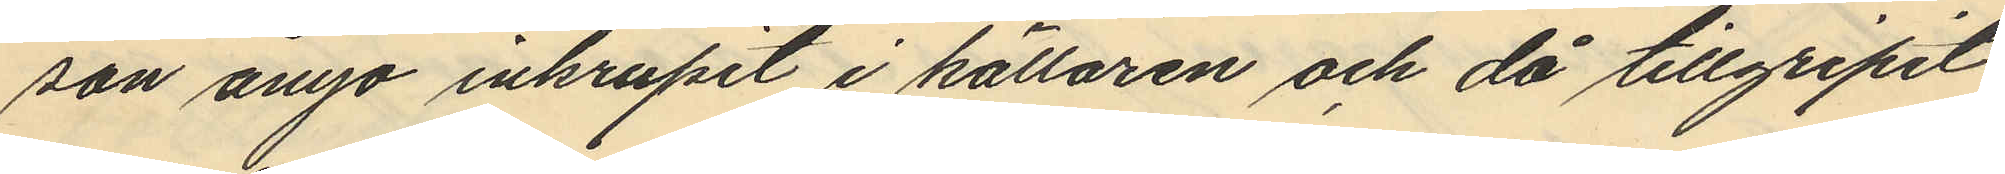son ånyo inkrupit i källaren och då tillgripit
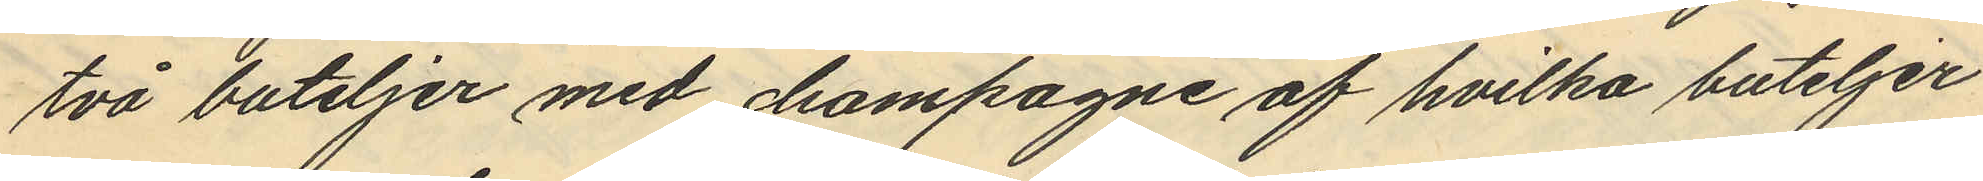två buteljer med champagne af hvilka buteljer
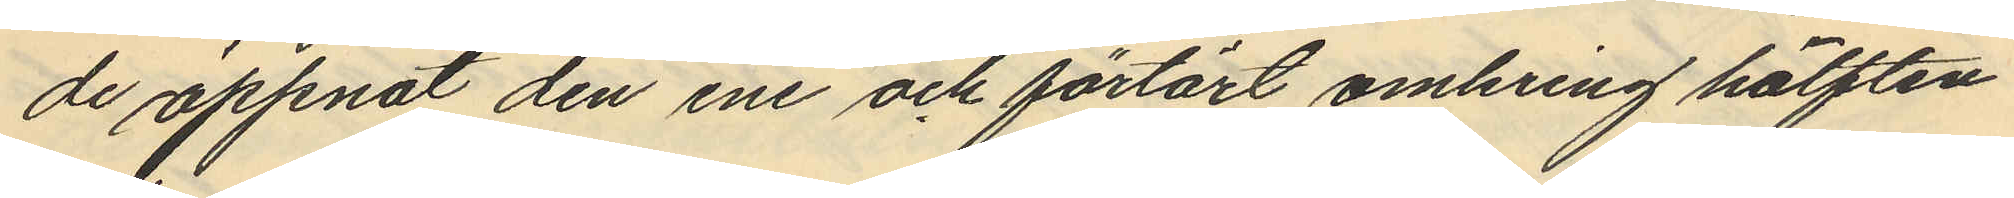de öppnat den ene och förtärt omkring hälften
